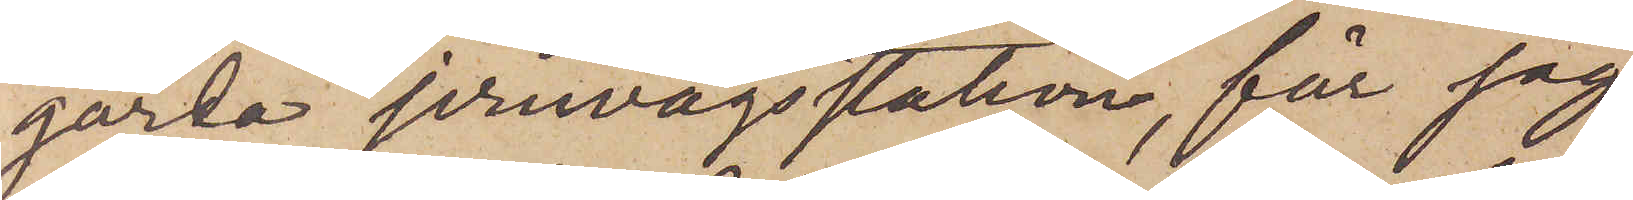gårda jernvägsstation, får jag
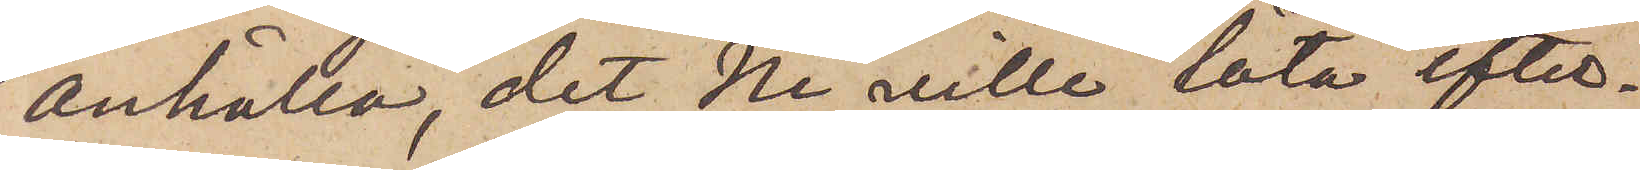anhålla, det Ni ville låta efter¬
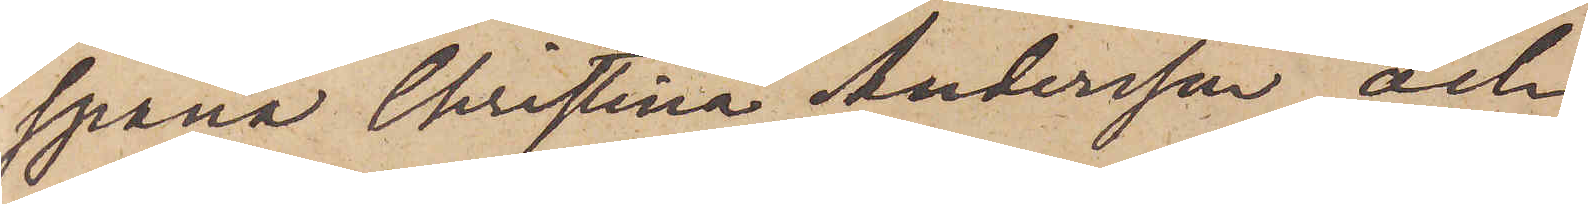spana Christina Andersson och,
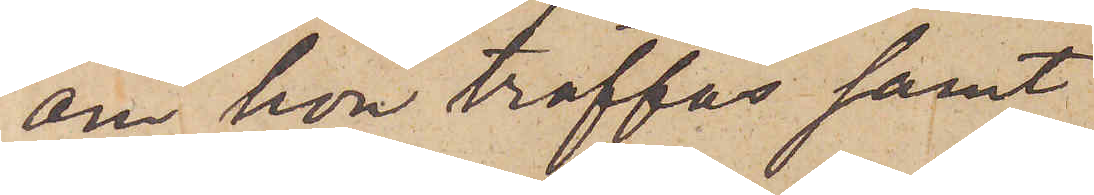om hon träffas samt
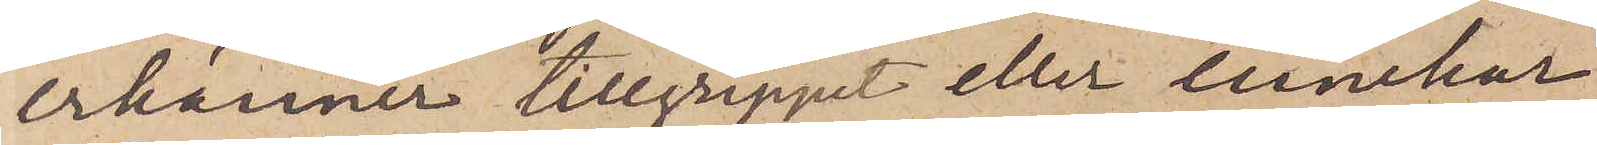erkänner tillgreppet eller innehar
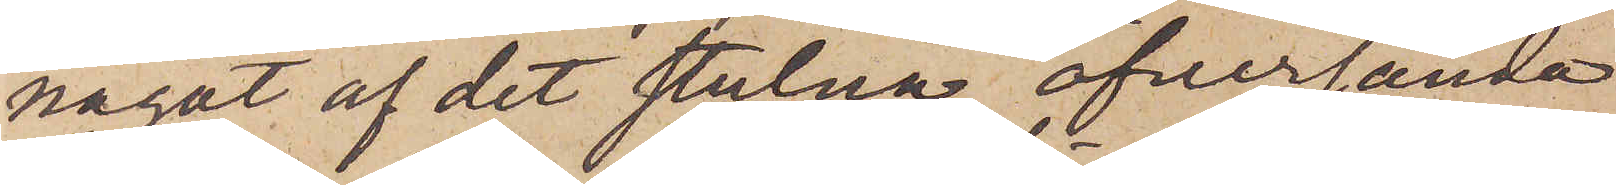något af det stulna, öfversända
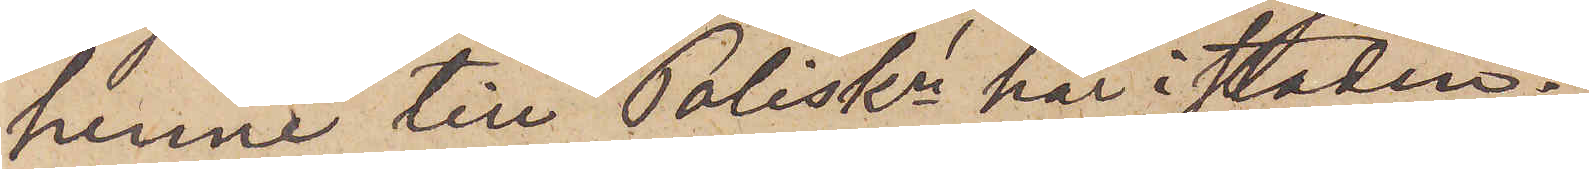henne till Poliskn här i staden.
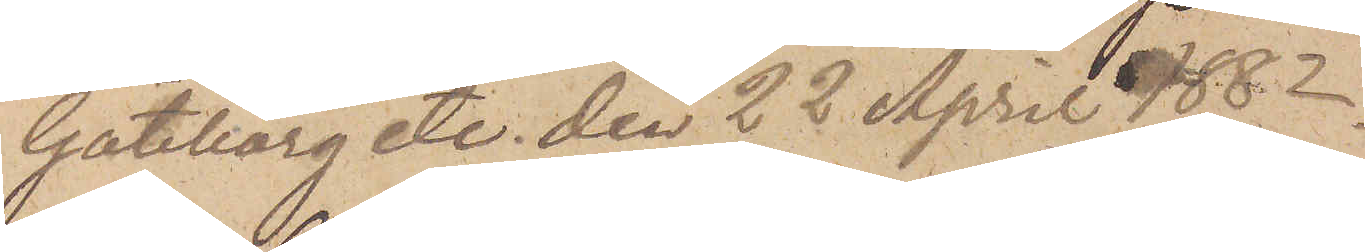Göteborg etc. den 22 April 1882.
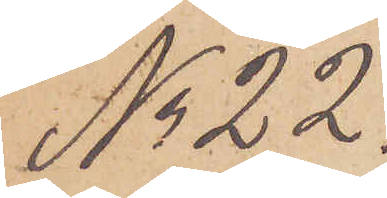No 22.
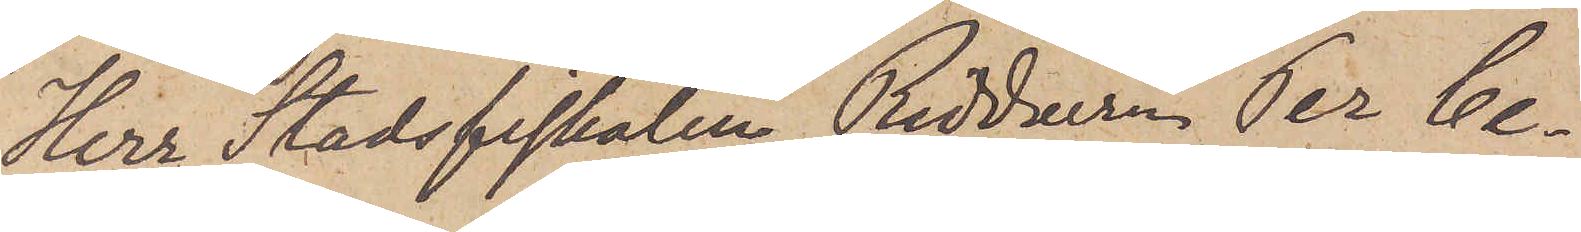Herr Stadsfiskalen, Riddaren Per Ce¬
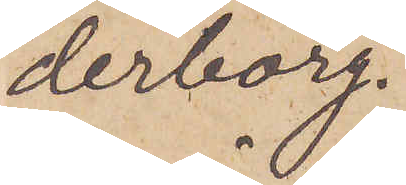derborg.
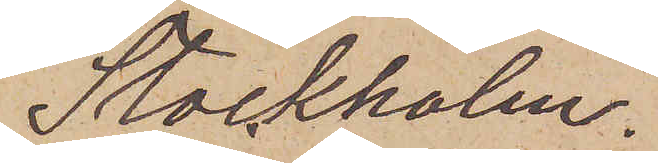Stockholm.
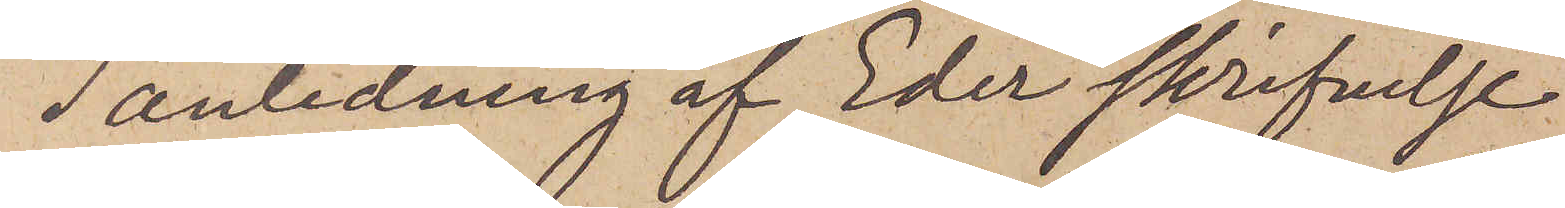I anledning af Eder skrifvelse
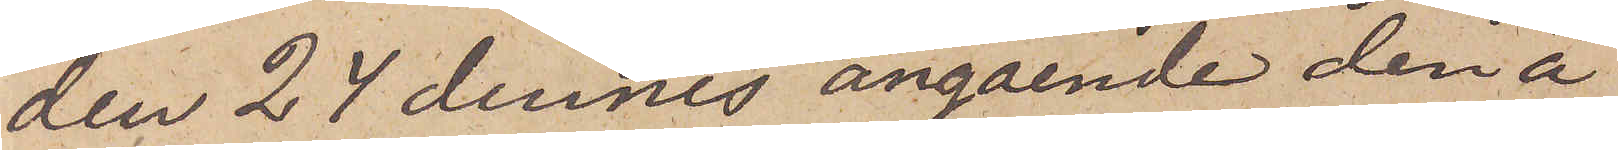den 24 dennes angående den å
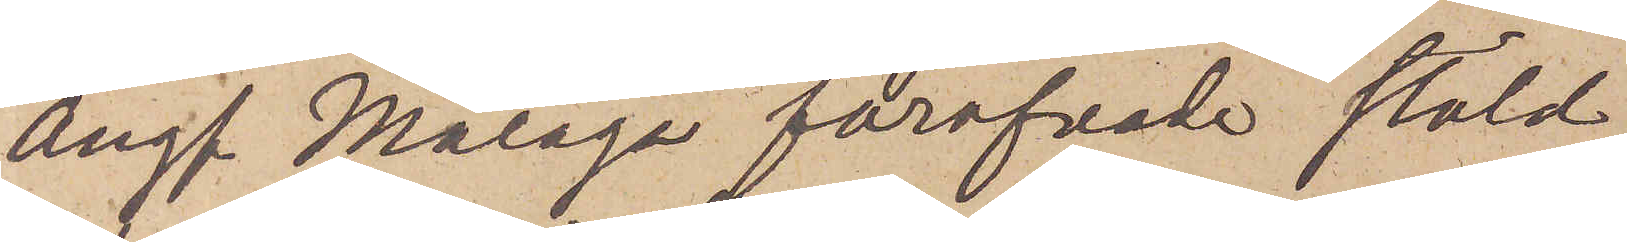Ångf. Malaga föröfvade stöld
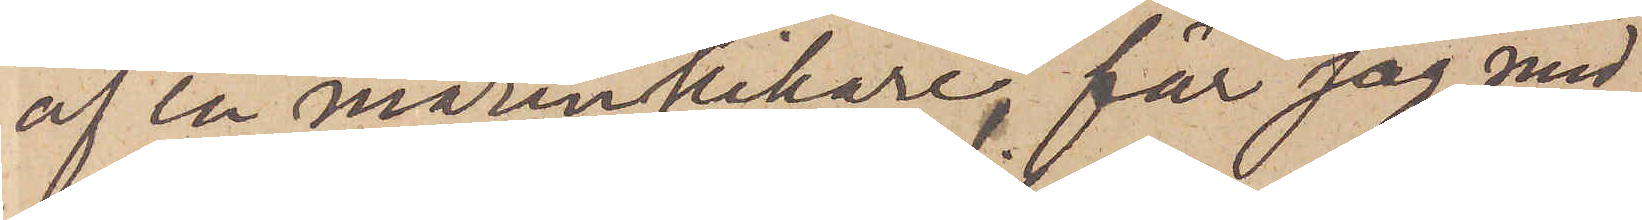af en marinkikare, får jag med
